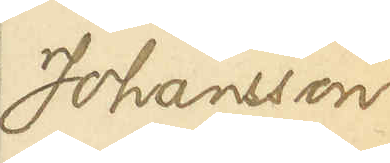Johansson
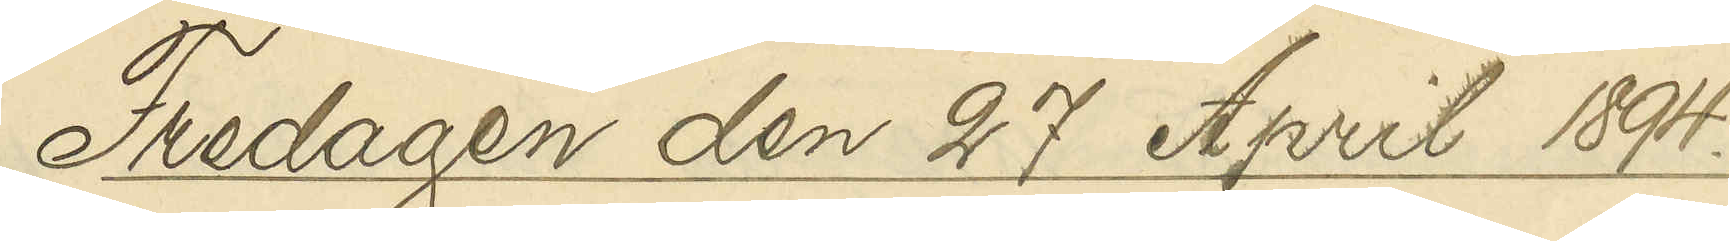Fredagen den 27 April 1894.
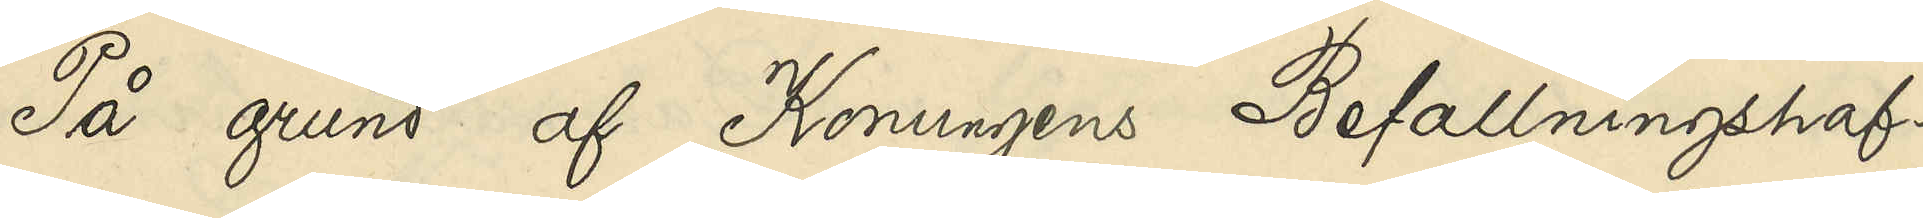På grund af Konungens Befallningshaf¬
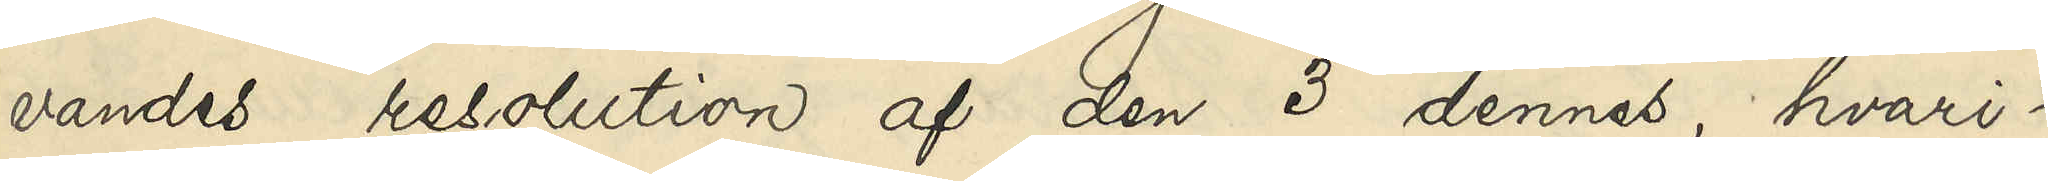vandes resolution af den 3 dennes, hvari¬
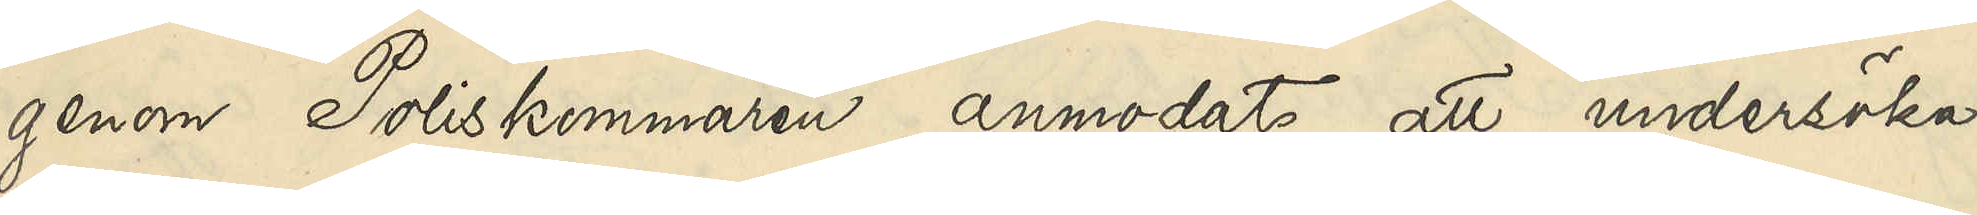genom Poliskammaren anmodats att undersöka
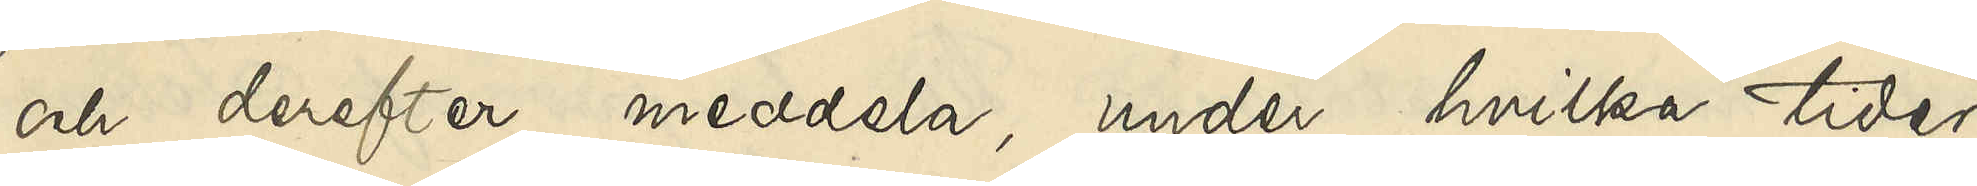och derefter meddela, under hvilka tider
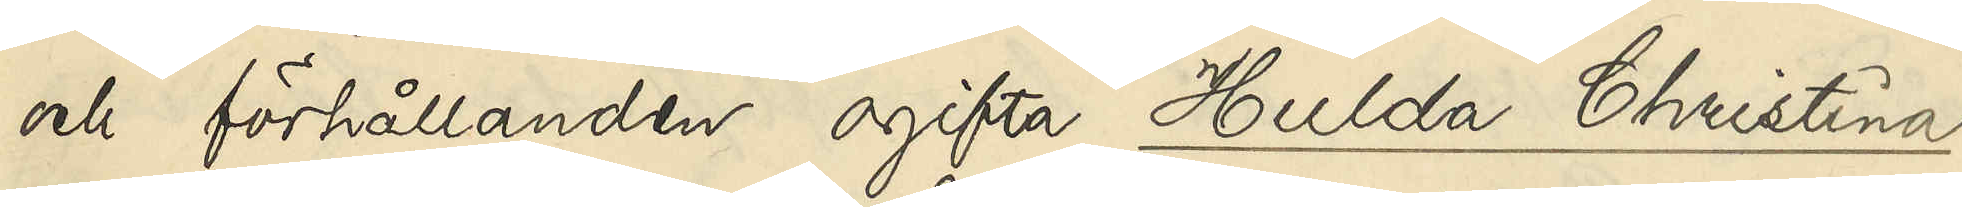och förhållanden ogifta Hulda Christina
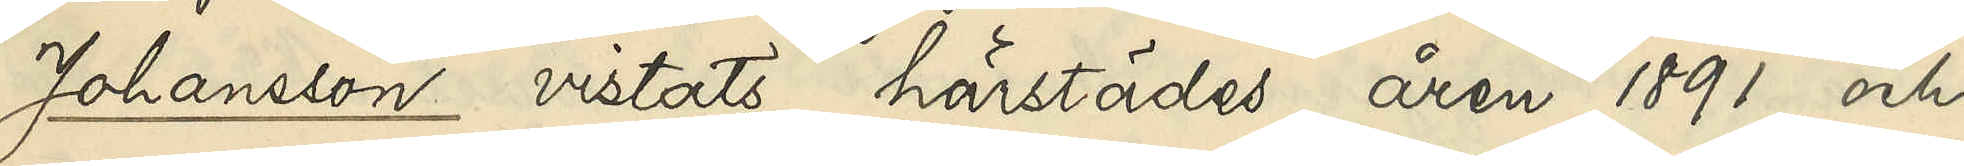Johansson vistats härstädes åren 1891 och
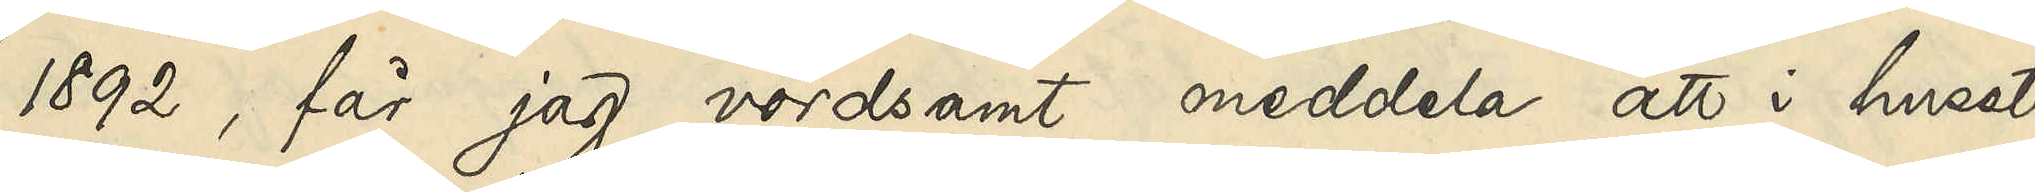1892, får jag vördsamt meddela att i huset
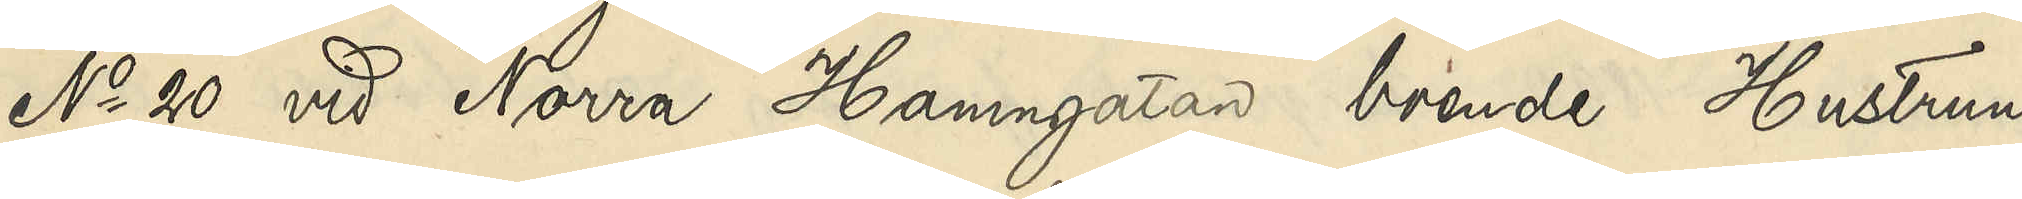No 20 vid Norra Hamngatan, boende Hustrun
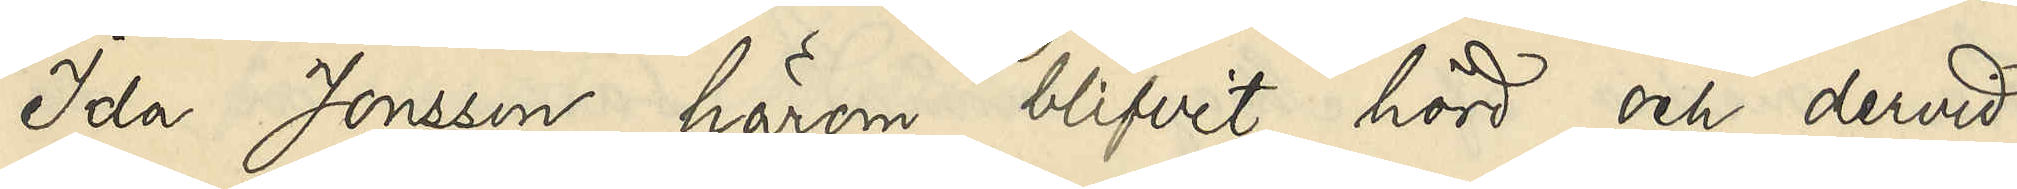Ida Jonsson härom blifvit hörd och dervid
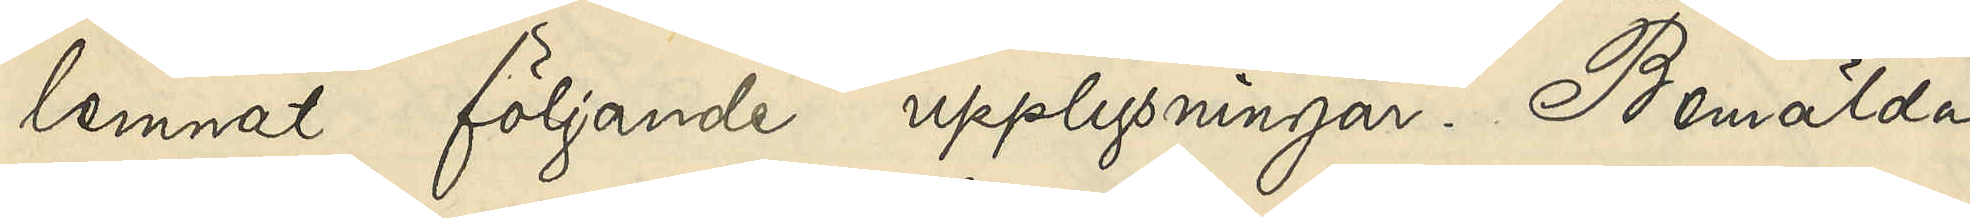lemnat följande upplysningar. Bemälda
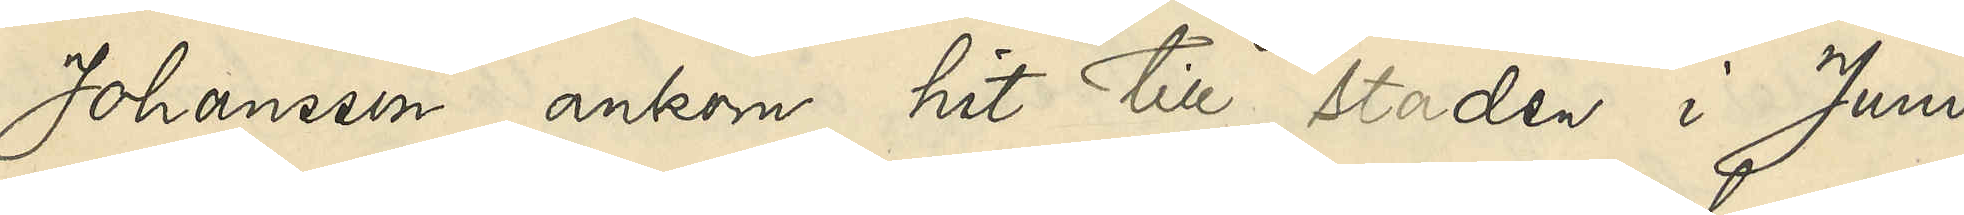Johansson ankom hit till staden i Juni
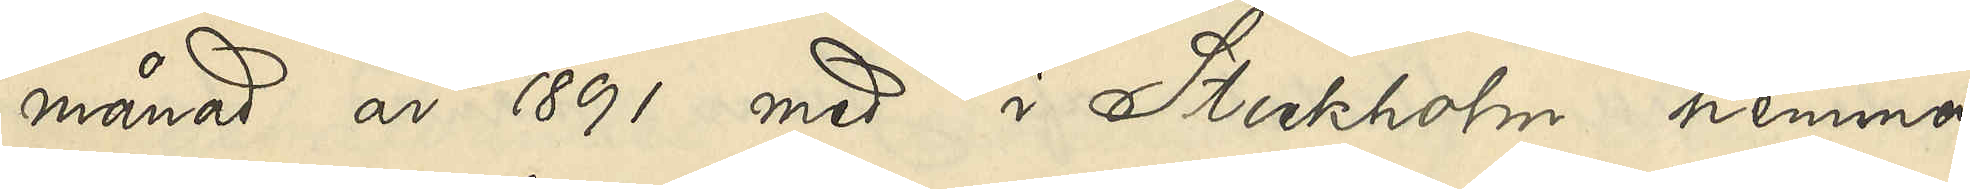månad 1891 med i Stockholm hemma¬
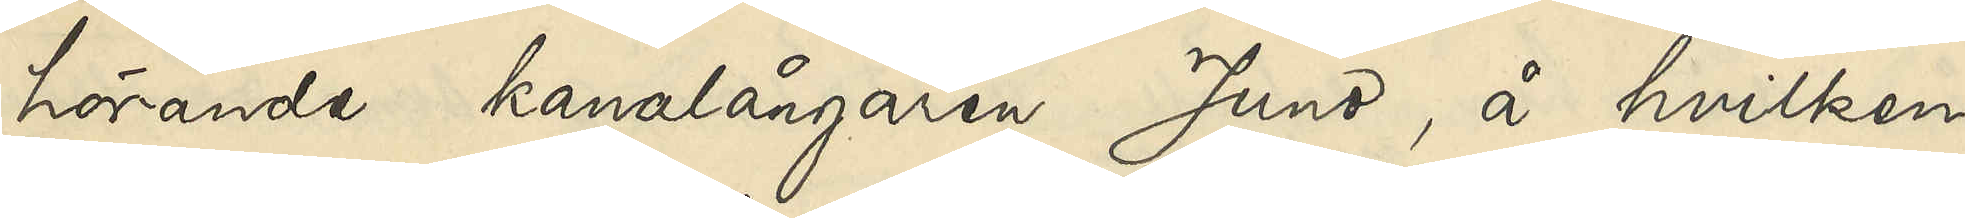hörande kanalångaren Juno, å hvilken
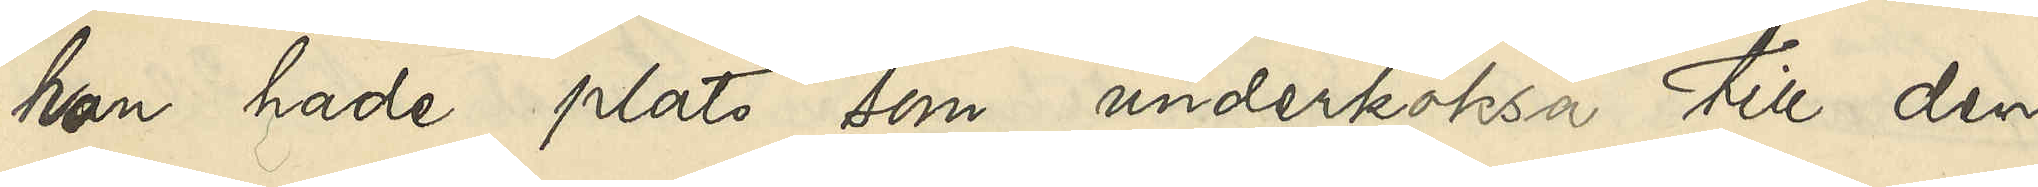hon hade plats som underköksa till den
